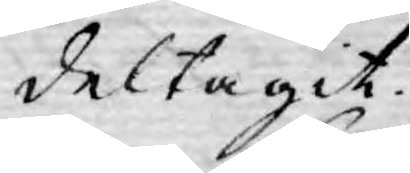deltagit.
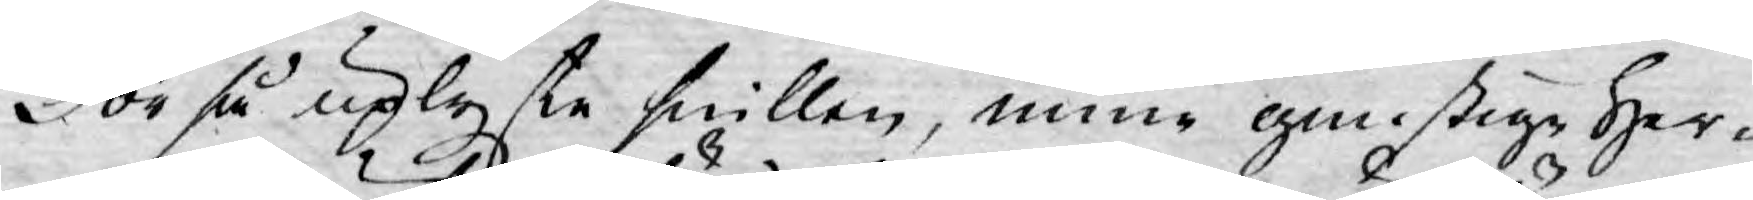För så uplyste snillen, mine gunstige Her¬
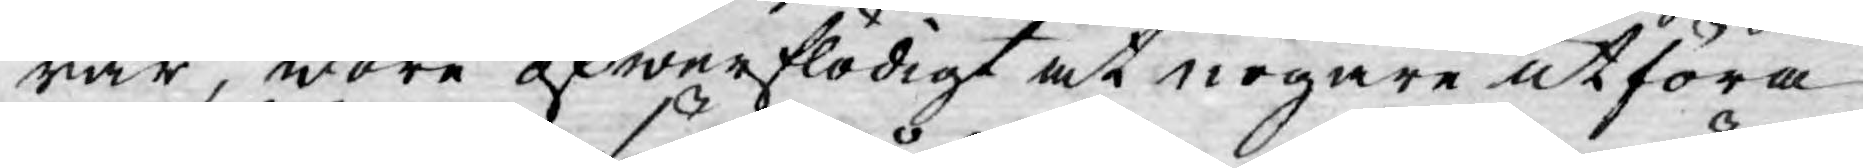rar, wore öfwerflödigt at nogare utföra
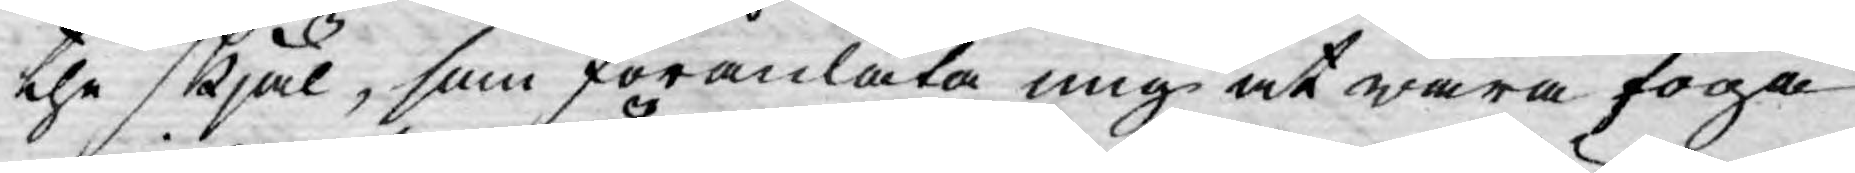the skjäl, som föranlåta mig at wara föga
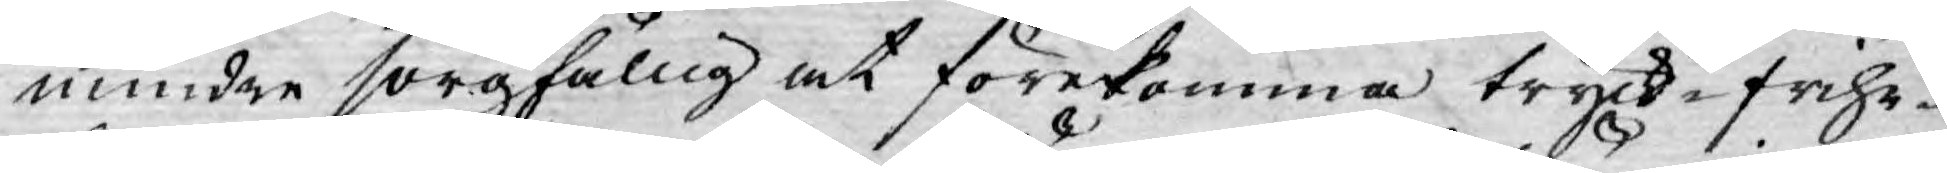mindre sorgfällig at förekomma tryck-frihe¬
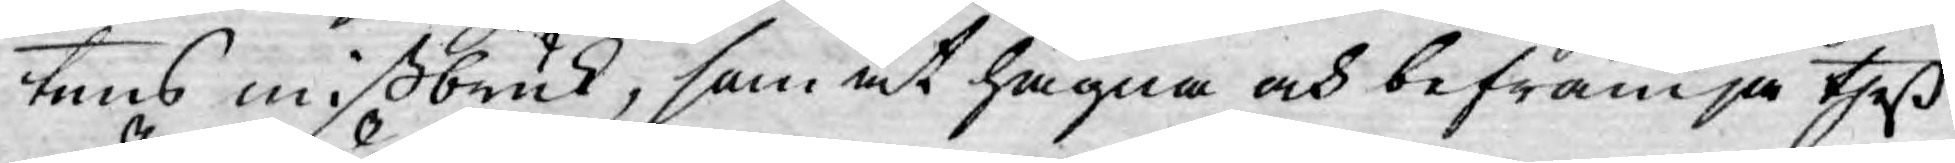tens mißbruk, som at hägna och befrämja theß
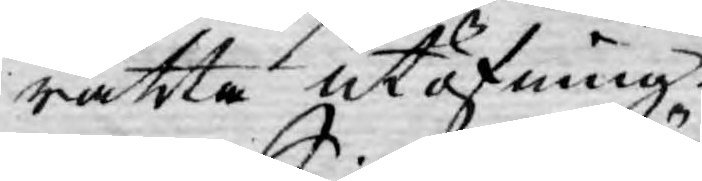rätta utöfning.
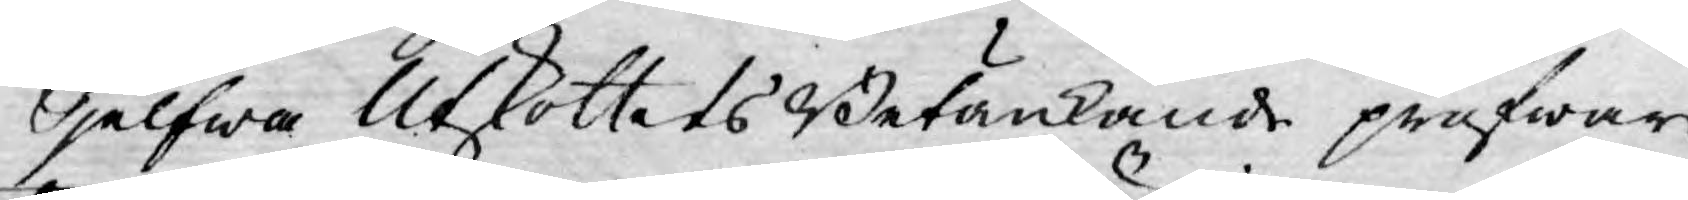Sjelfwa Utskottets Betänkande pröfwar
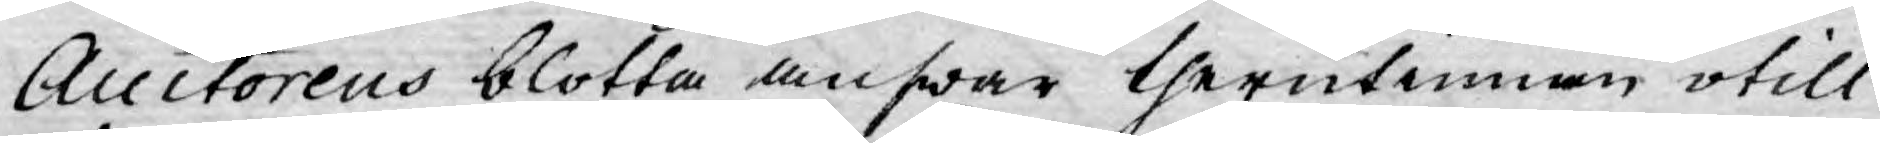Auctorens blotta answar therutinnan otill¬
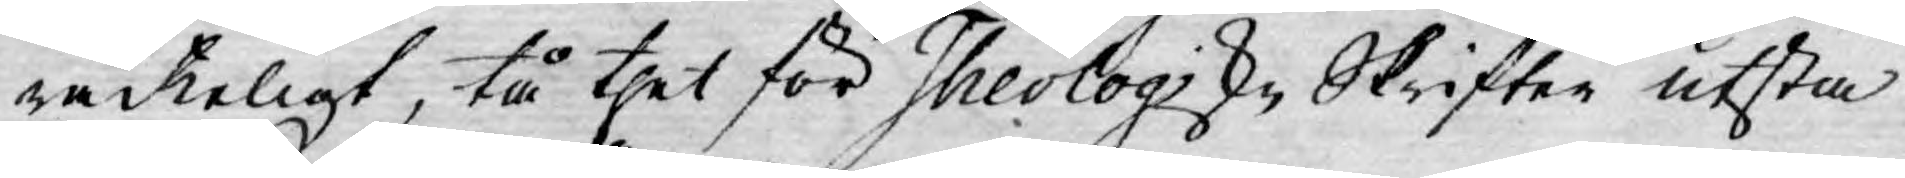räckeligt, tå thet för Theologiske Skrifter utsta¬
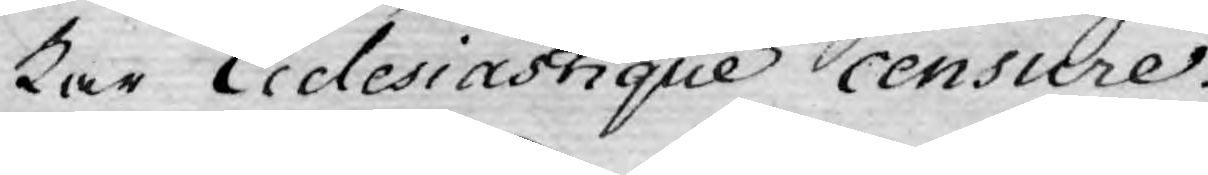kar Eiclesiastique censure.
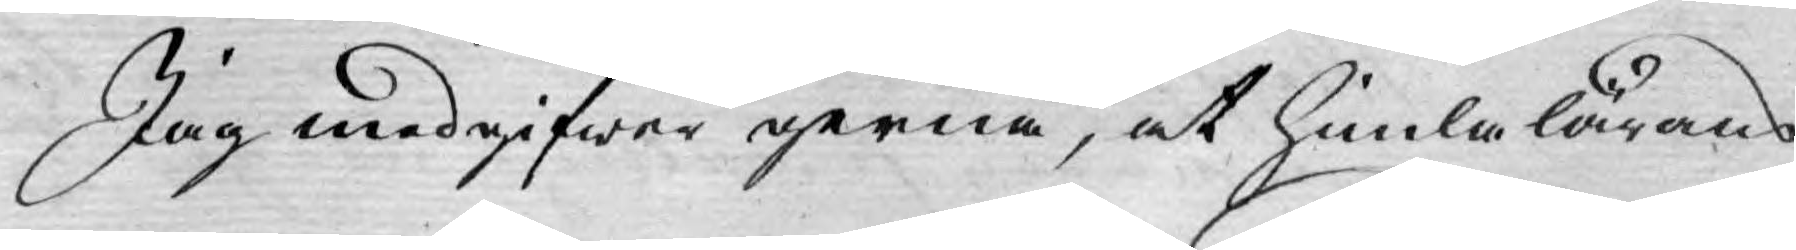Jag medgifwer gerna, at himla lärans
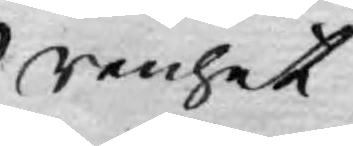renhet
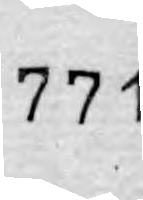771.
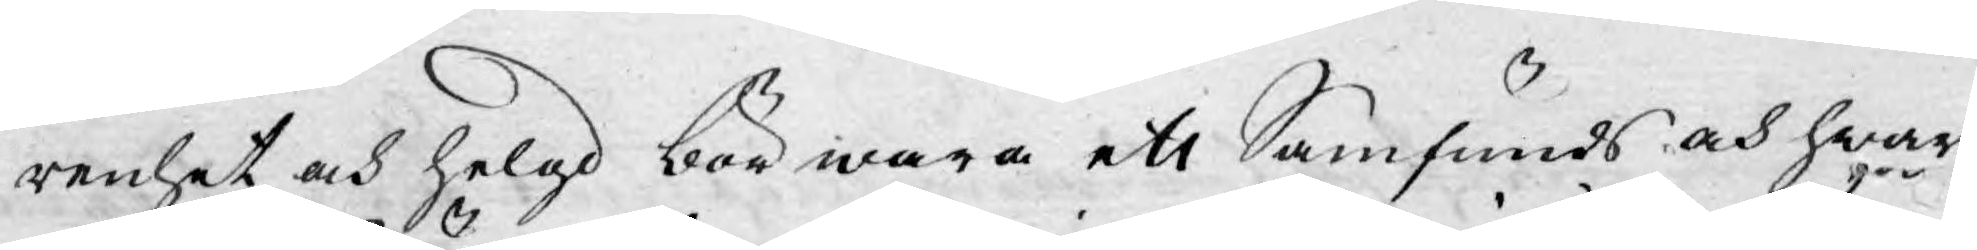renhet och helgd bör wara ett Samfunds och hwar
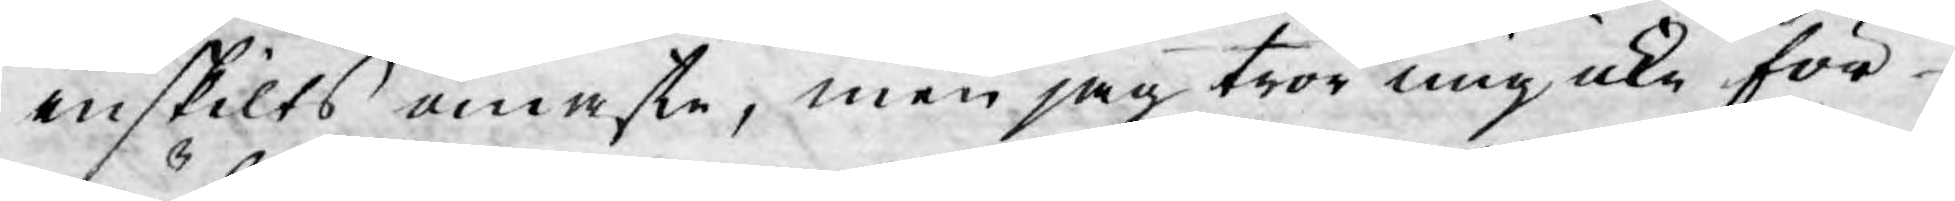enskilts ömaste, men jag tror mig icke för
